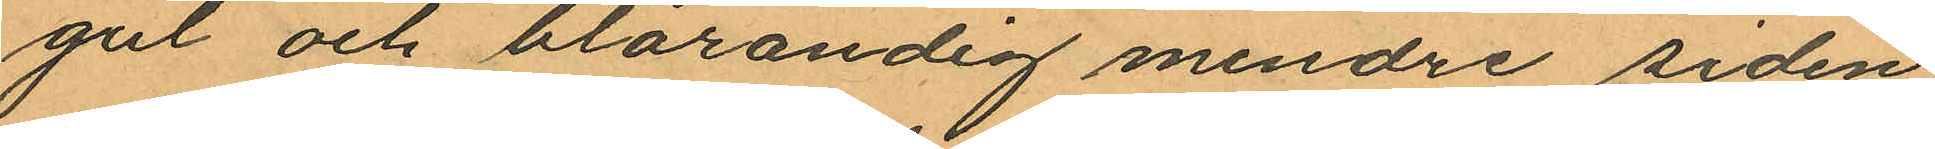gul och blårandig mindre siden
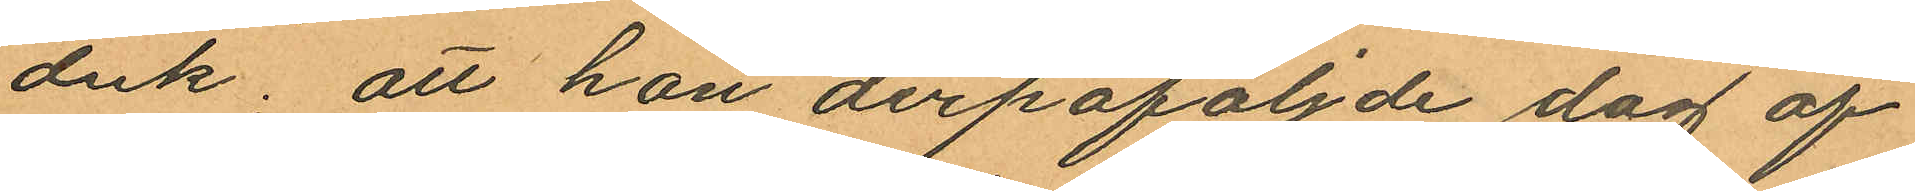duk; att hon derpåföljde dag af
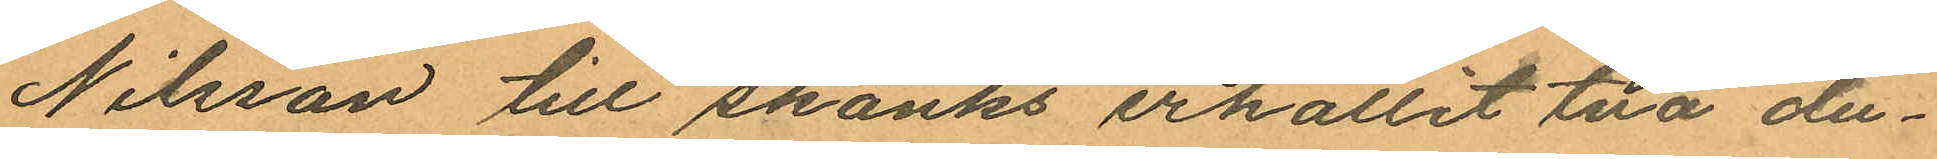Nilsson till skänks erhållit två du¬
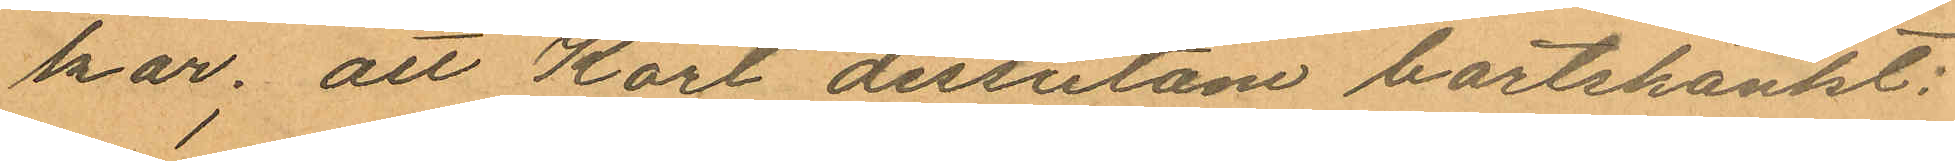kar; att Karl dessutom bortskänkt:
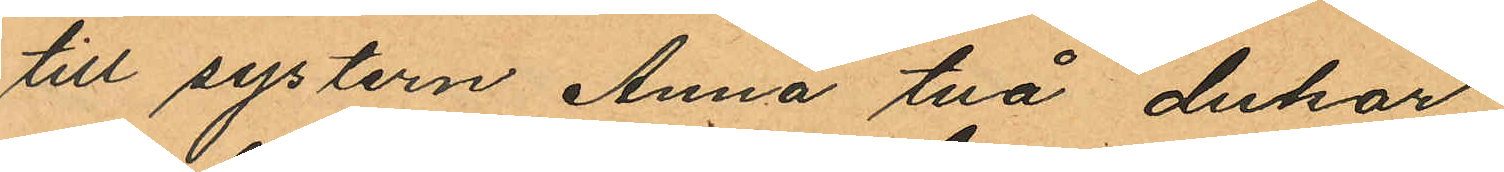till systern Anna två dukar,
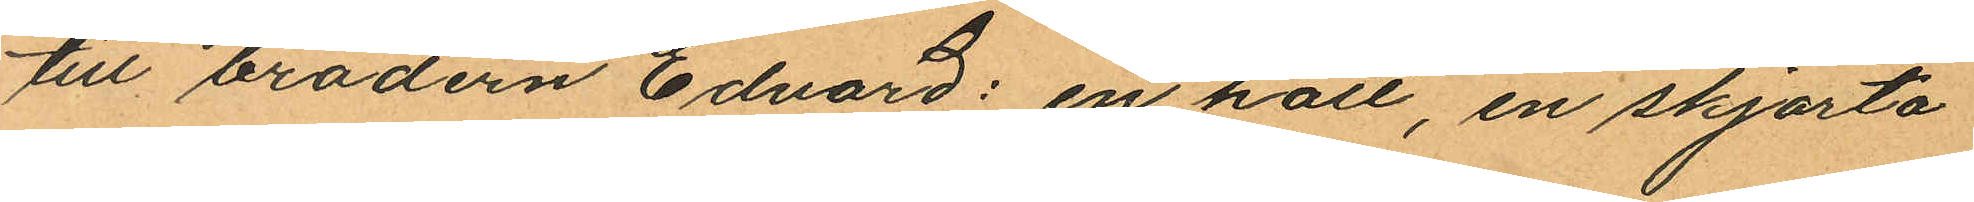till brodern Edvard: en hatt, en skjorta
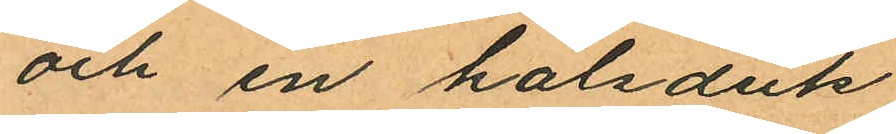och en halsduk
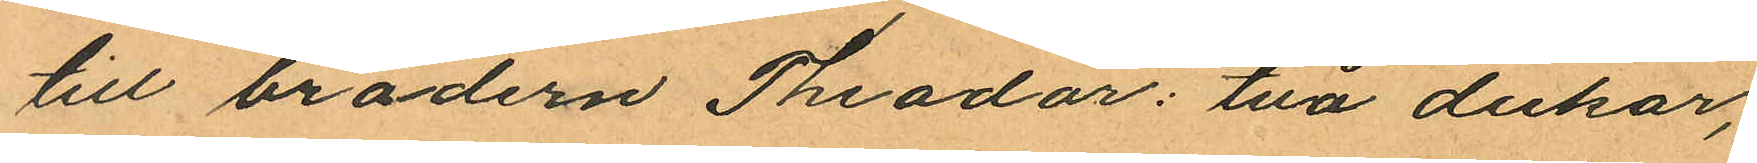till brodern Theodor: två dukar,
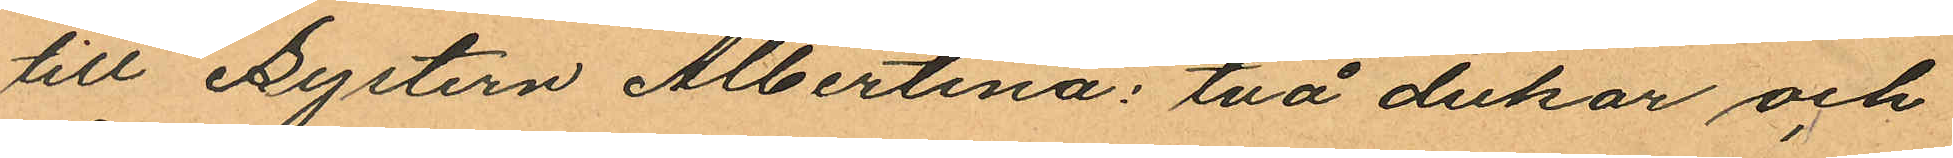till Systern Albertina: två dukar och
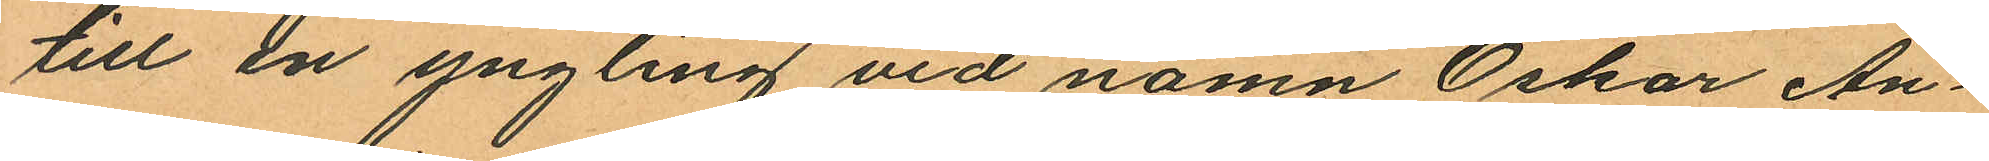till en yngling vid namn Oskar An¬
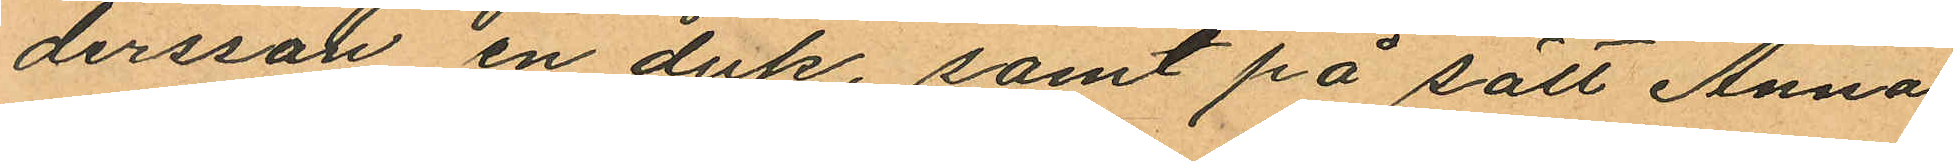dersson en duk, samt på sätt Anna
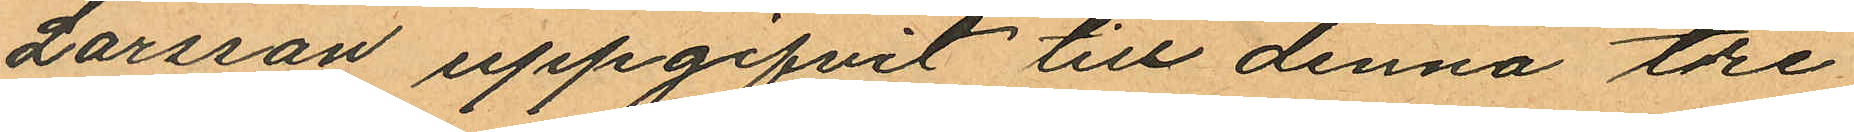Larsson uppgifvit till denna tre
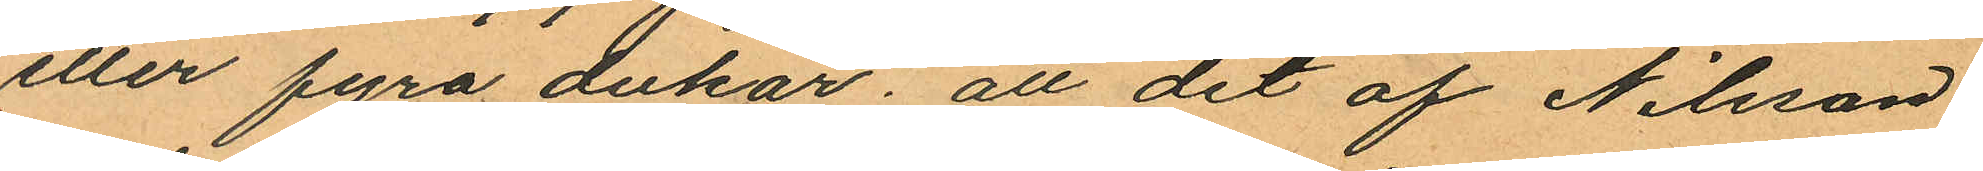eller fyra dukar; att det af Nilsson
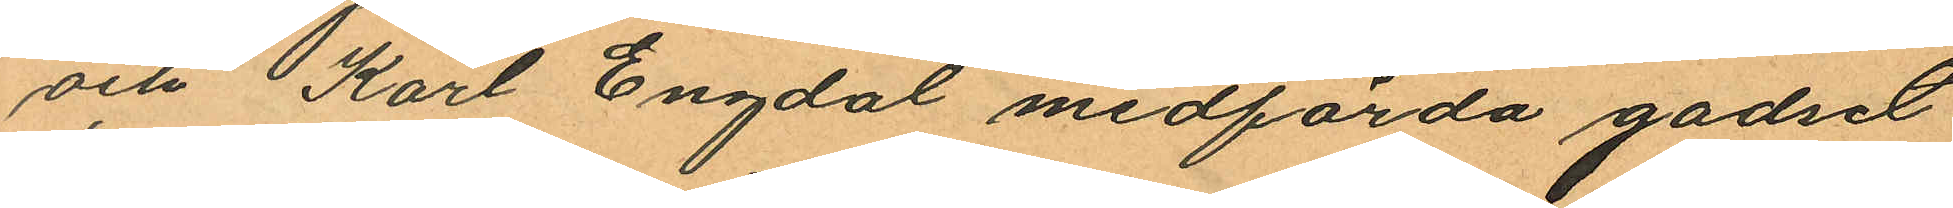och Karl Engdal medförda godset
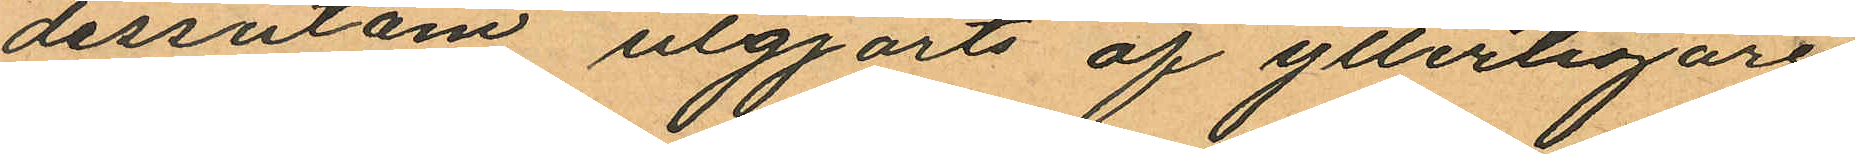dessutom utgjorts af ytterligare
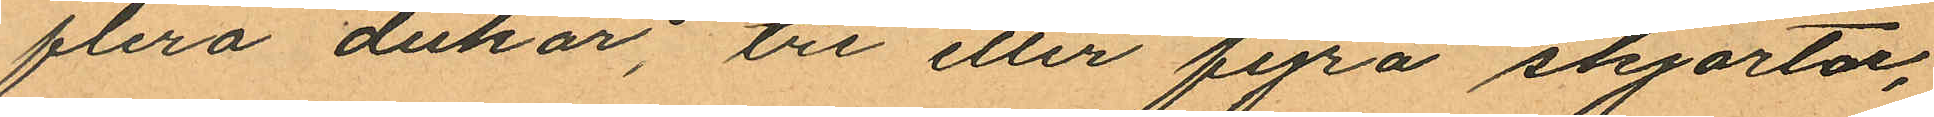flera dukar, tre eller fyra skjortor,
